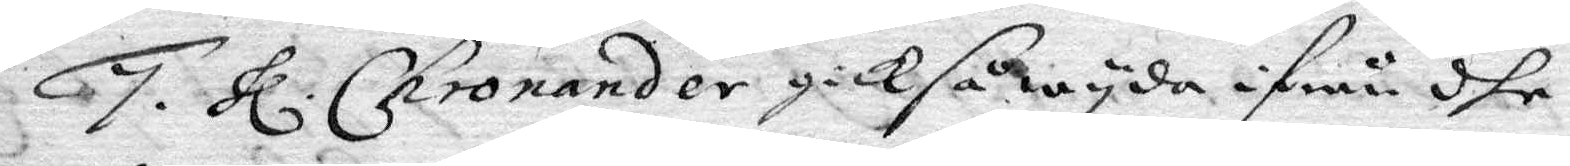7. hl. Chronander gick så wyda ifrån dhe 
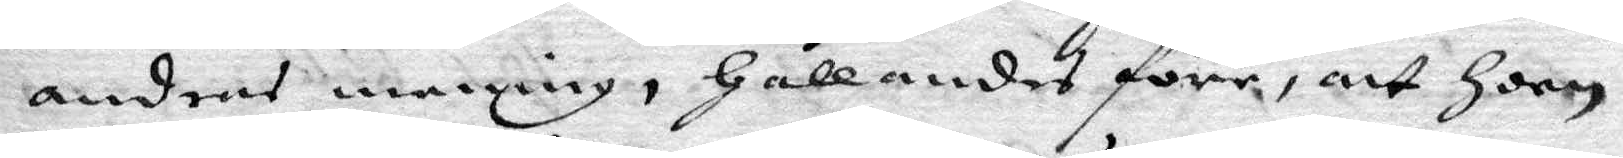andras mening, hållandes före, att hoon
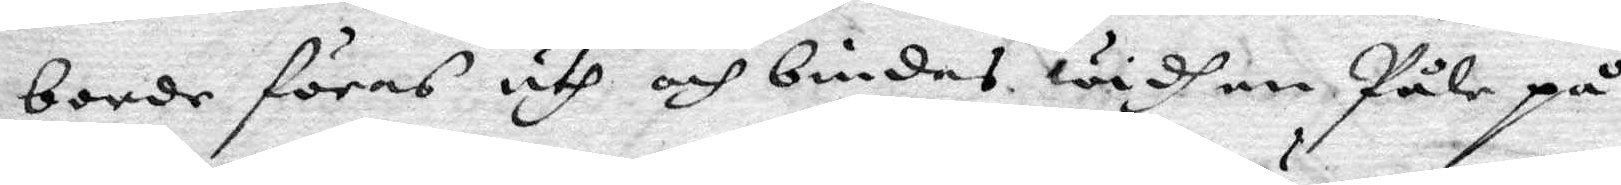borde föras uth och bindas widh en Påle på
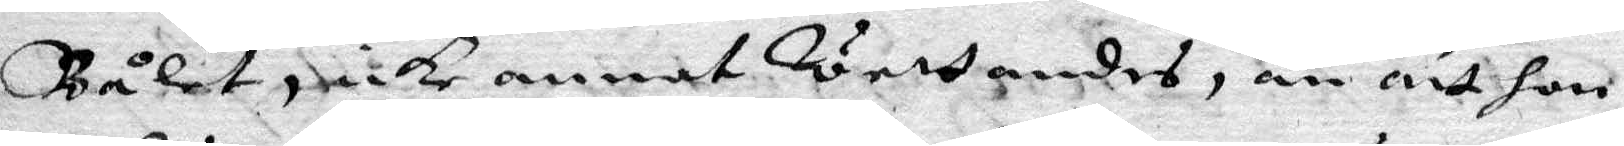Bålet, icke annat wettandes, än att hon
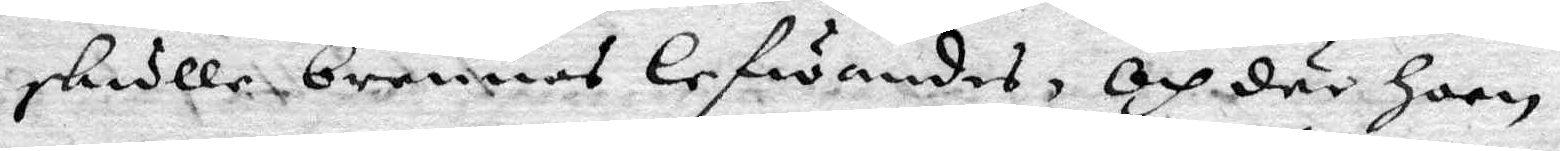skulle brennas lefwandes, och där hoon
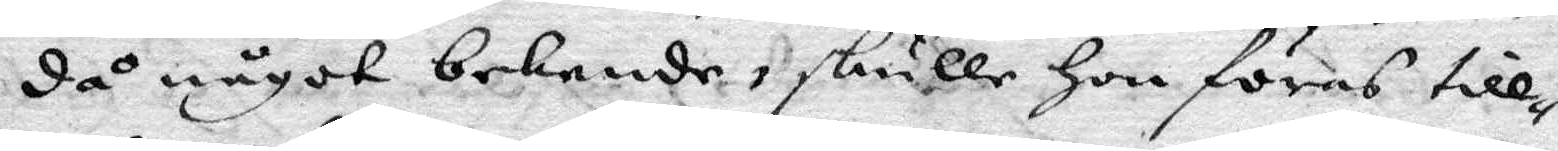då något bekende, skulle hon föras till¬
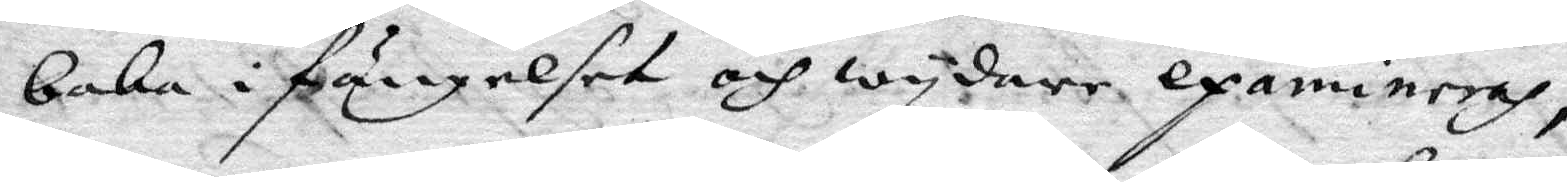baka i fängelset och wydare examineras,
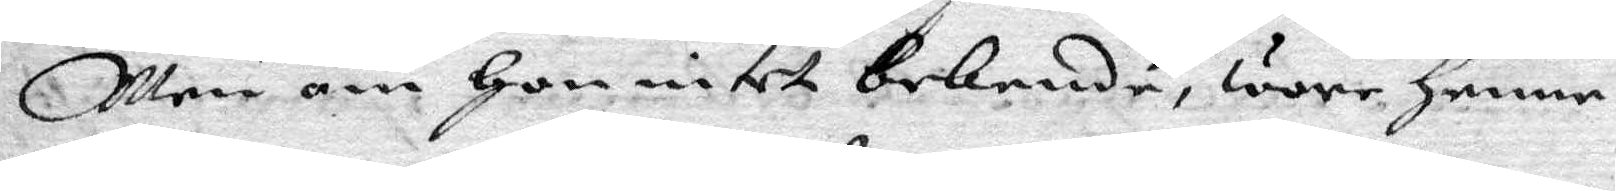Men om hon intet bekende, wore henne
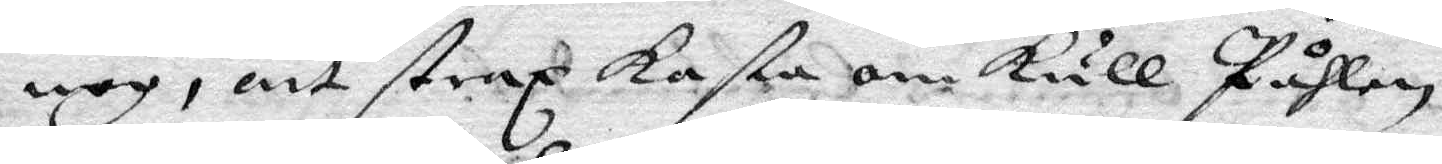nog, att strax kasta om kull Påhlen,
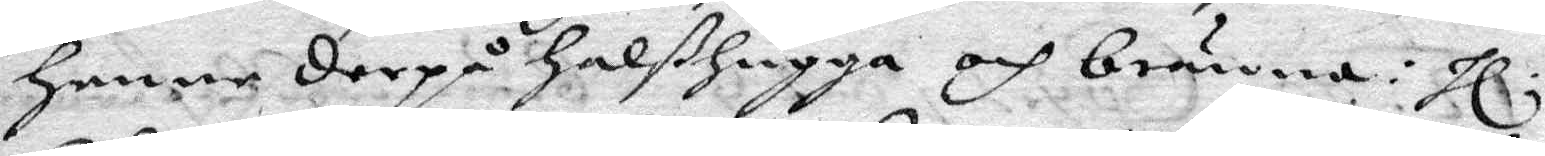henne derpå halßhugga och bränna: hl.
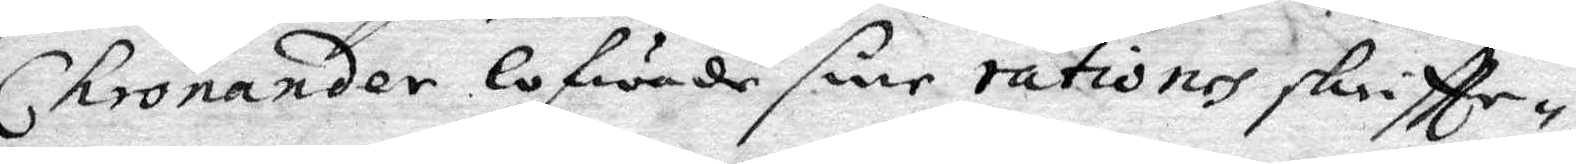Chronander lofwade sine rationes skriftte¬
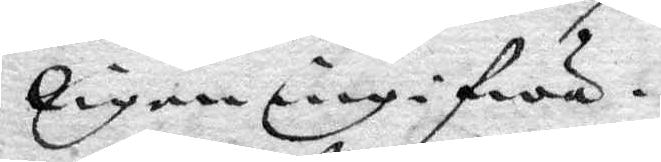ligen ingifwa.
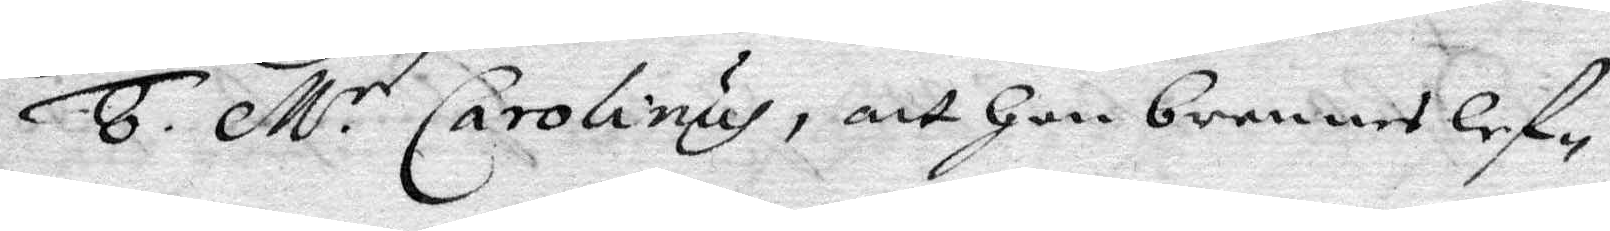8. M.r Carolinus, att hon brennes lef¬
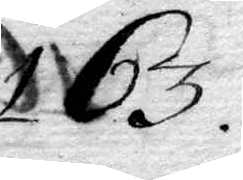163.
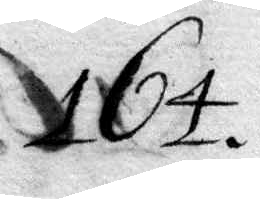164.
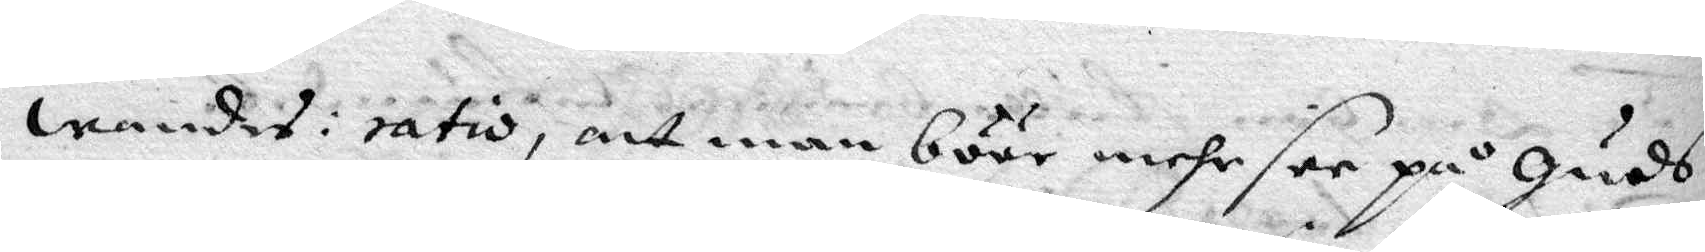wandes: ratio, att man böör mehr see på Guds
